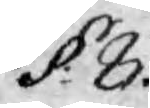§: 8.
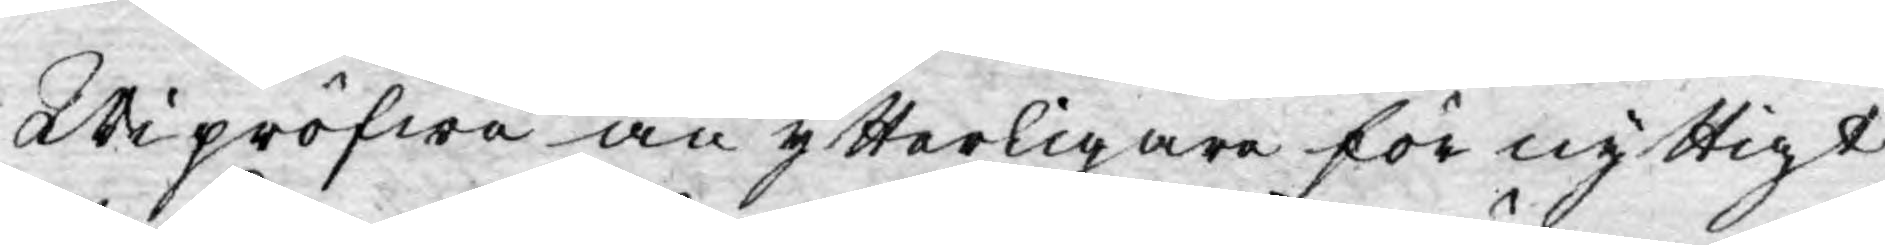Wi pröfwe än ytterligare för nyttigt
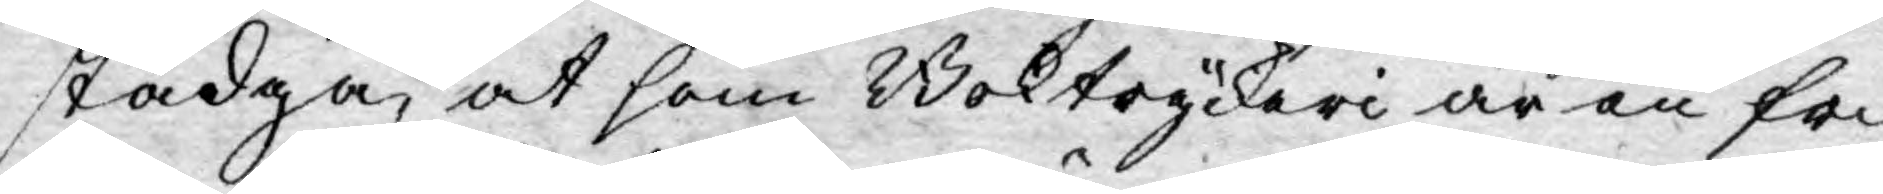stadga, at som Boktryckeri är en fri
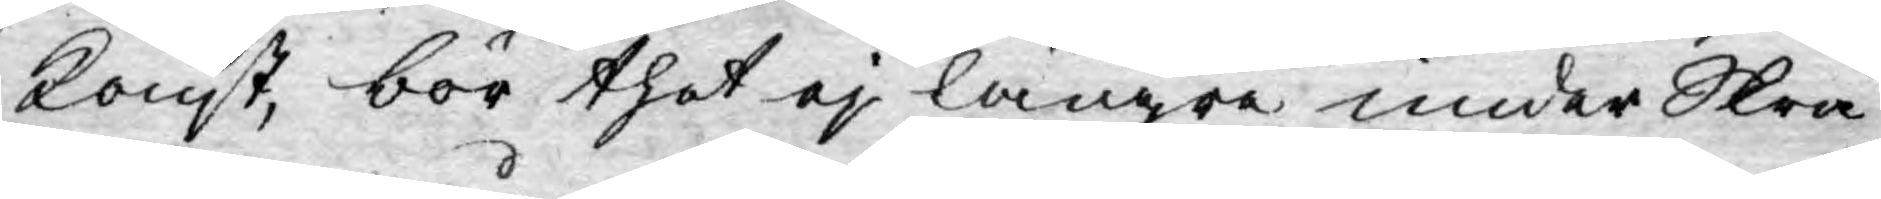konst, bör thet ej längre under Skrå
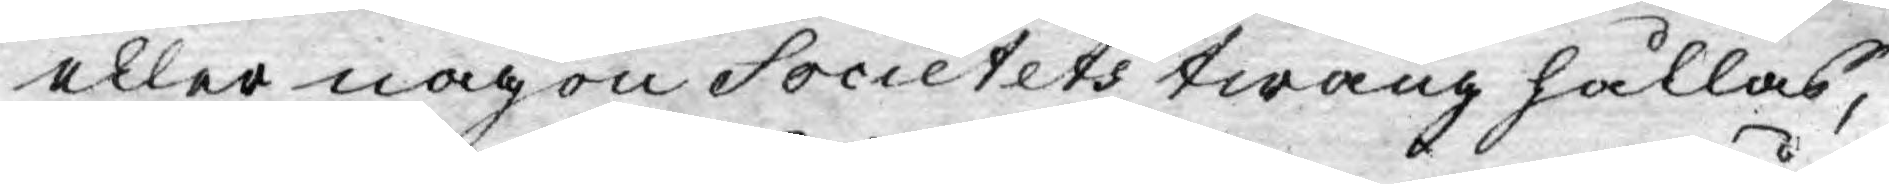eller någon Societets twång hållas,
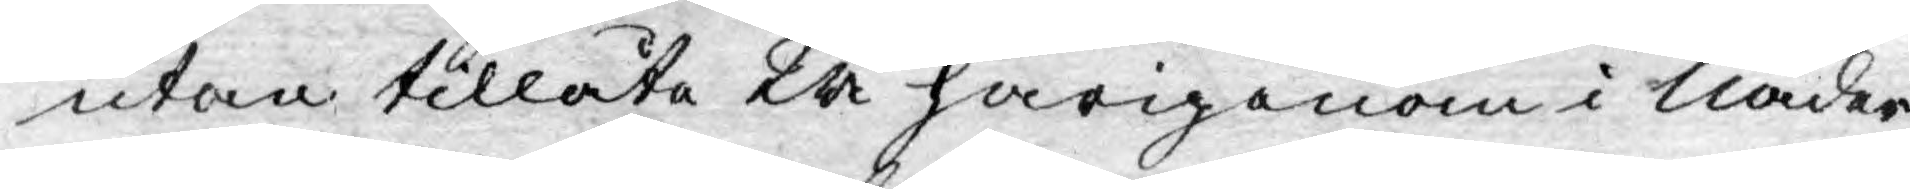utan tillåta Wi härigenom i Nåder
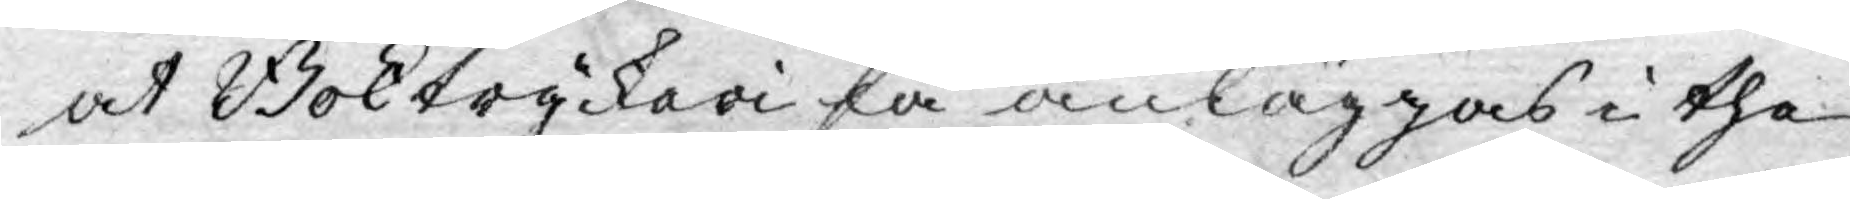at Boktryckeri få anläggas i the
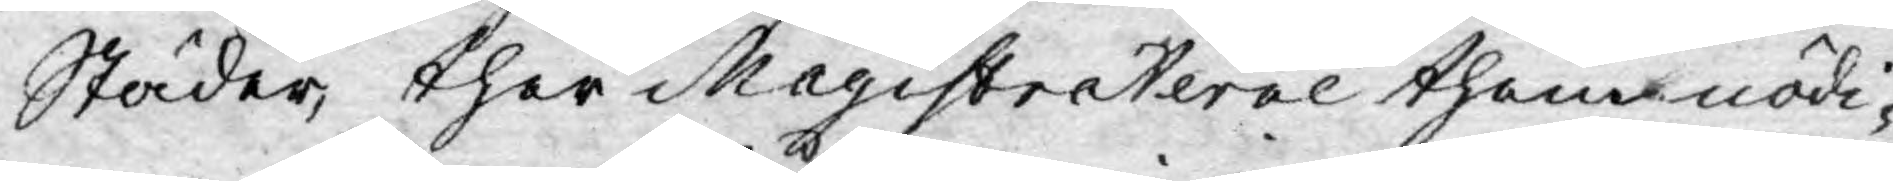Städer, ther Magistraterne them nödi¬
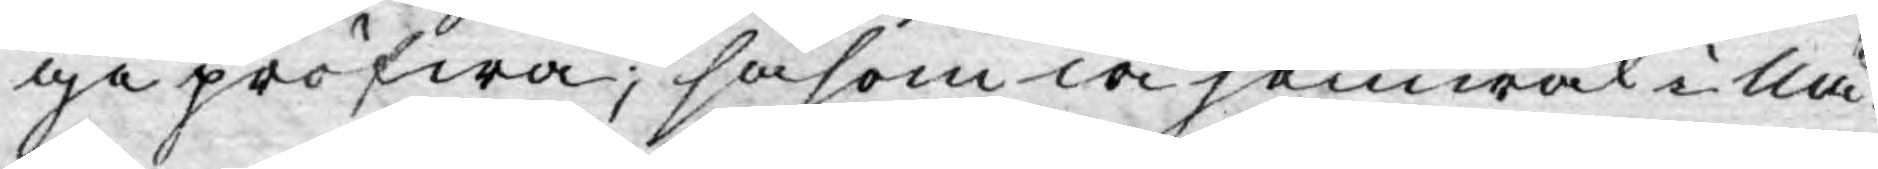ge pröfwa, såsom wi jemwäl i Nå¬
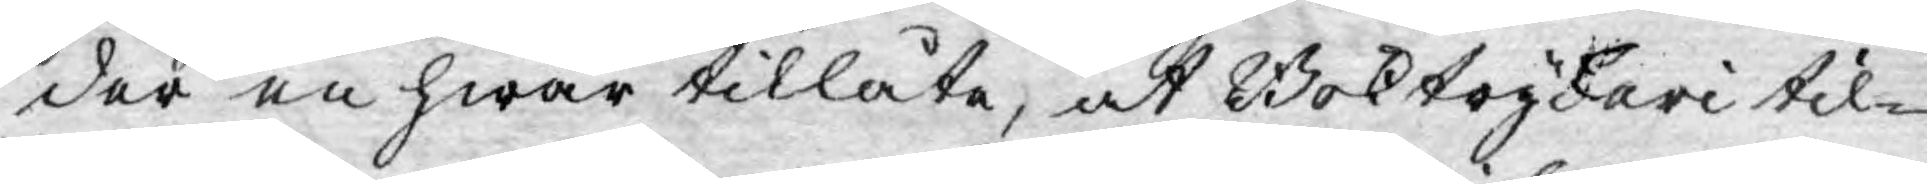der en hwar tillåta, at Boktryckari til¬
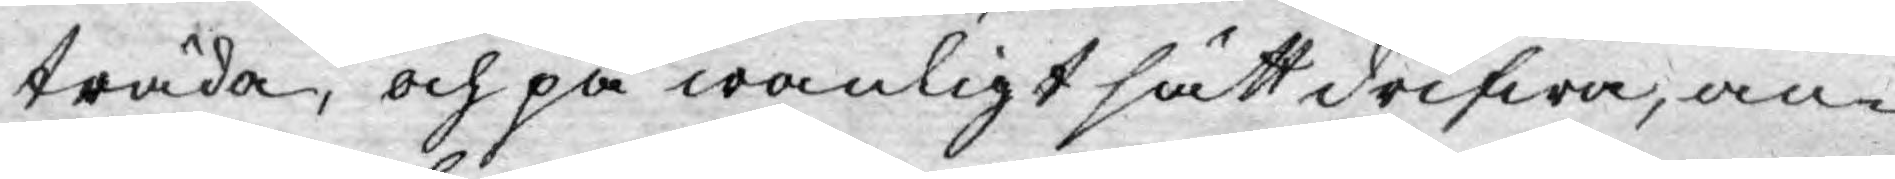träda, och på wanligt sätt drifwa, an¬
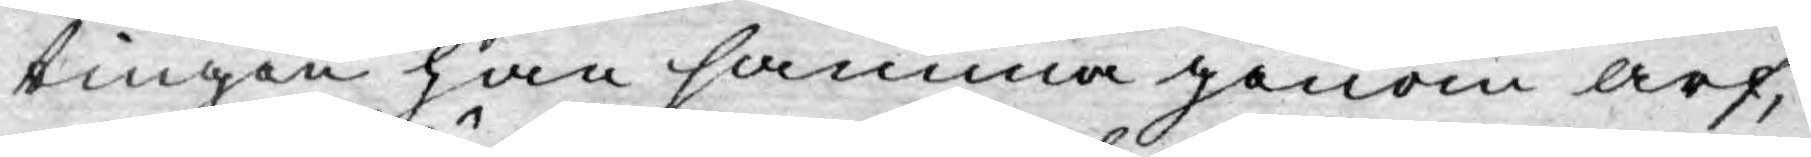tingen han samma genom arf,
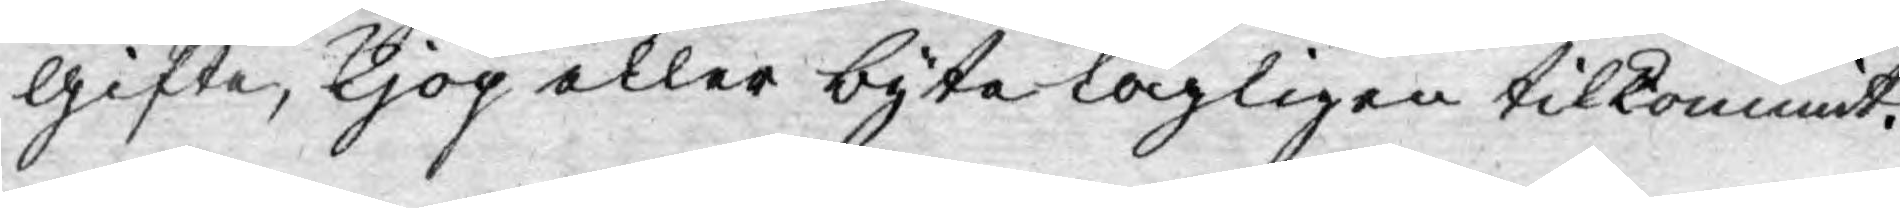gifte, kjöp eller byte lagligen tilkommit.
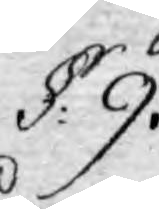§: 9.
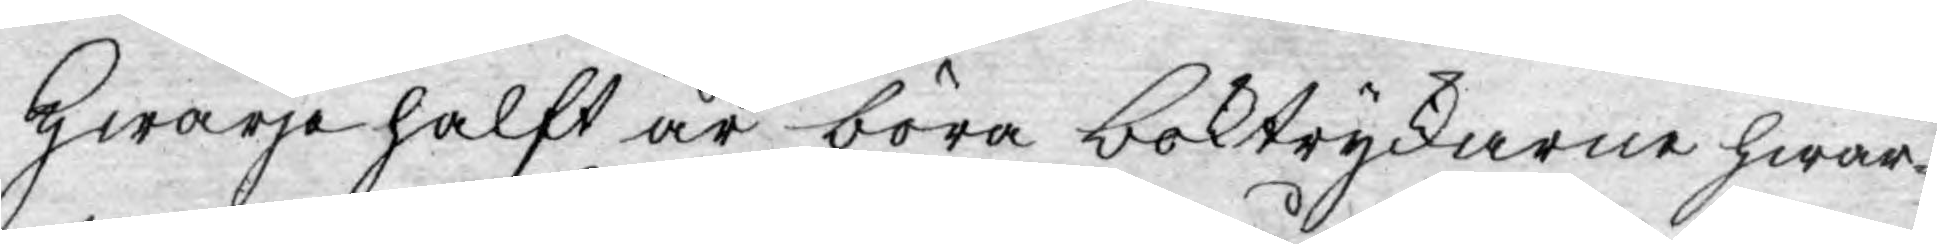Hwarje halft år böra boktryckarne hwar¬
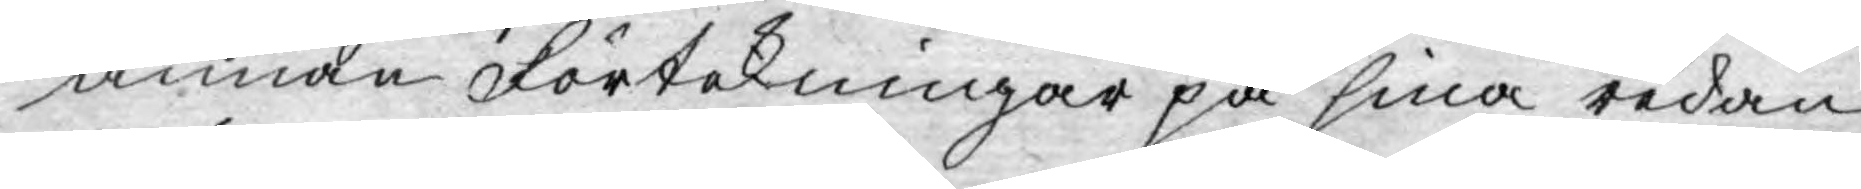annan Förtekningar på sina redan
